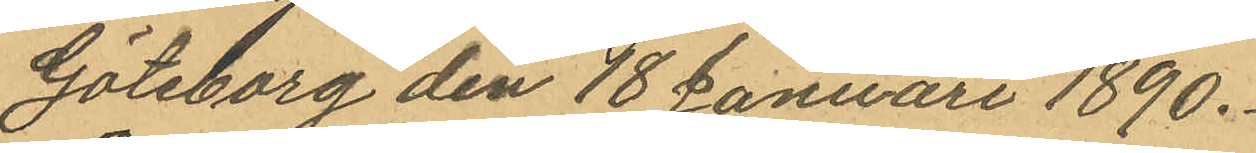Göteborg den 18 Januuari 1890.
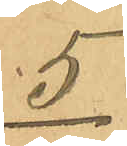5
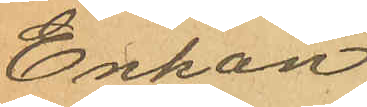Enkan
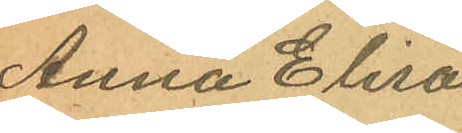Anna Elisa
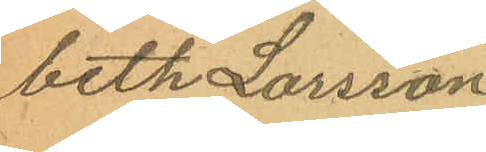beth Larsson
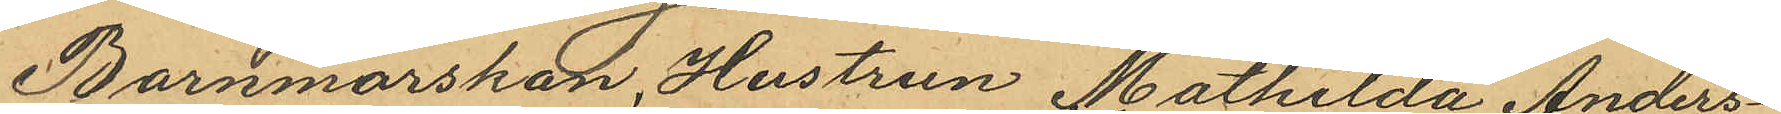Barnmorskan, Hustrun Mathilda Anders¬
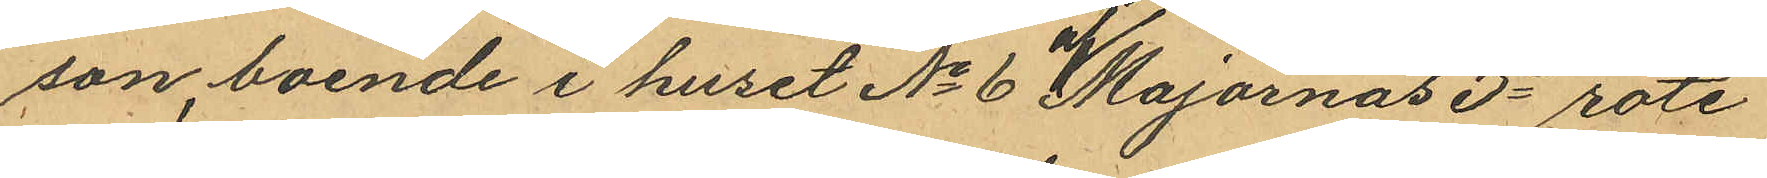son, boende i huset No 6 af Majornas 3e rote
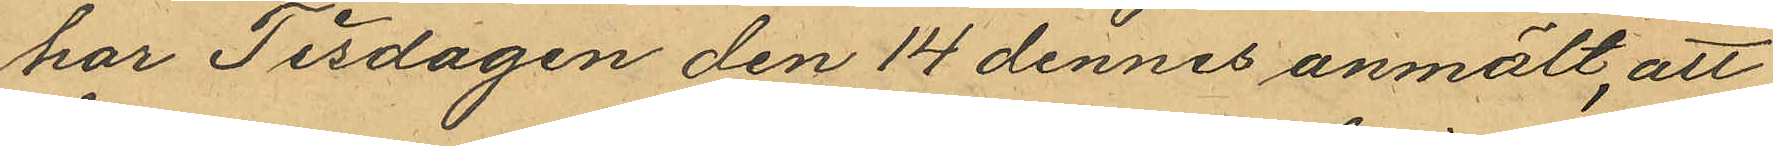har Tisdagen den 14 dennes anmält, att
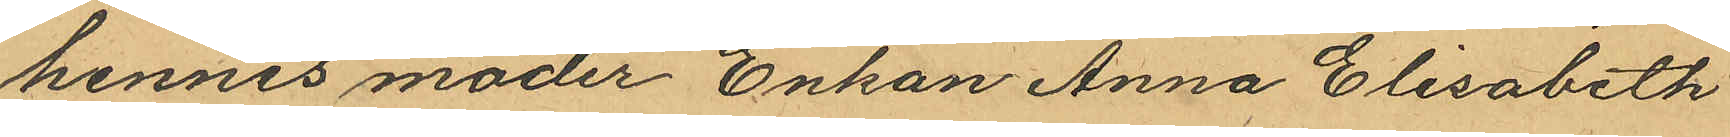hennes moder Enkan Anna Elisabeth
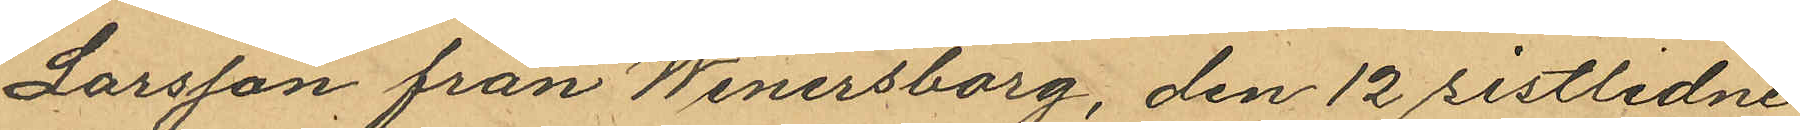Larsson från Wenersborg, den 12 sistlidne
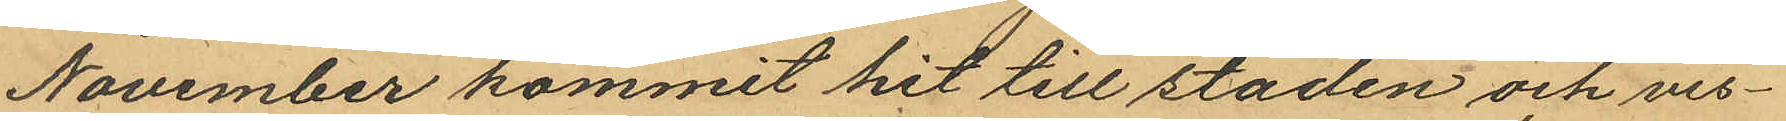November kommit hit till staden och vis¬
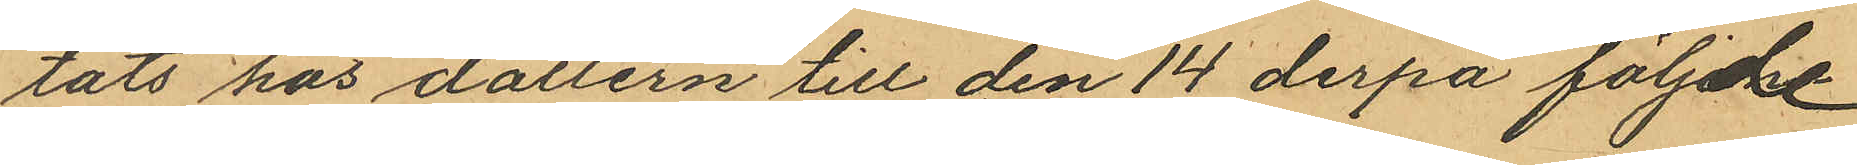tats hos dottern till den 14 derpå följde
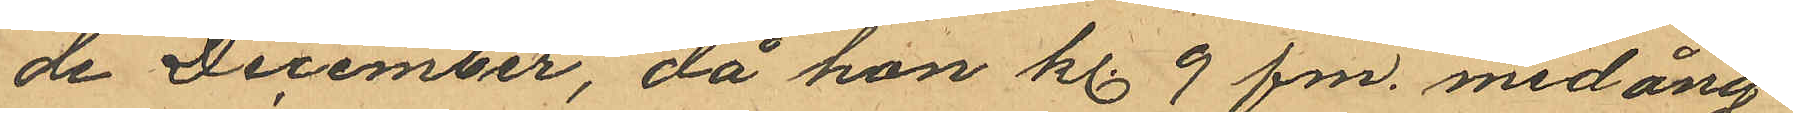de December, då hon kl. 9 fm. med ång¬
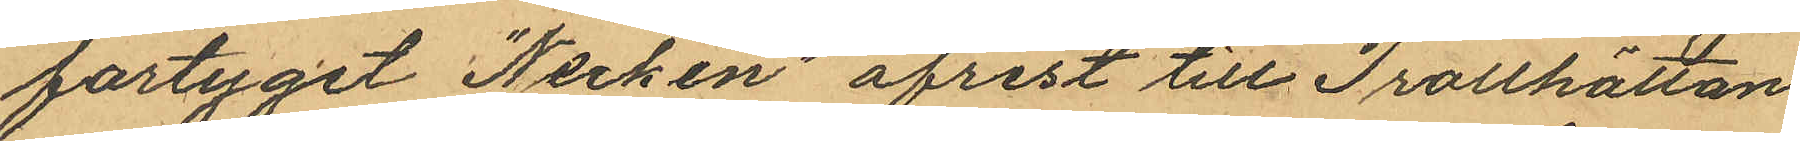fartyget "Necken" afrest till Trollhättan
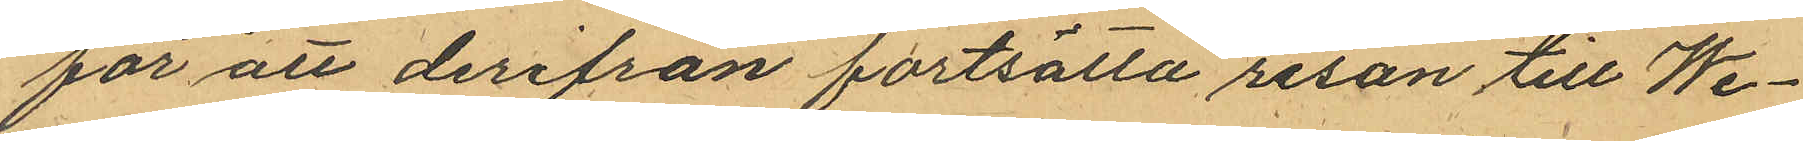för att derifrån fortsätta resan till We¬
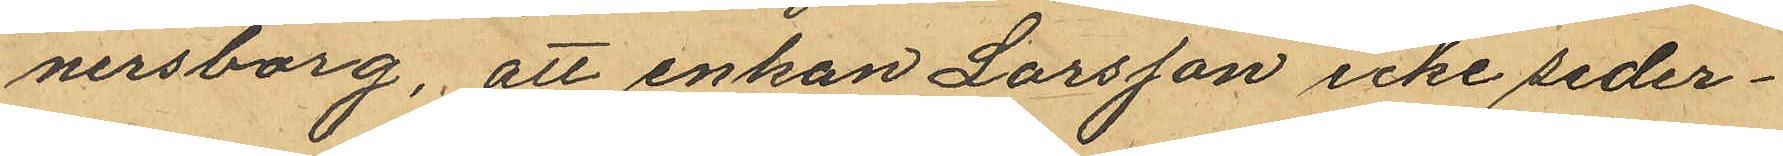nersborg, att enkan Larsson icke seder¬
